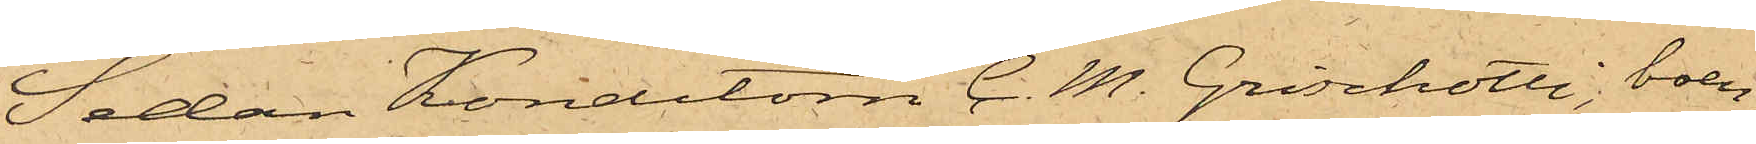Sedan Konditorn C. M. Grischotti, boen¬
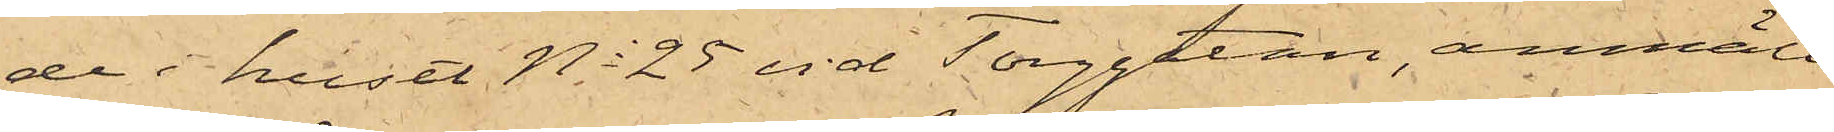de i huset No 25 vid Torggatan, anmält
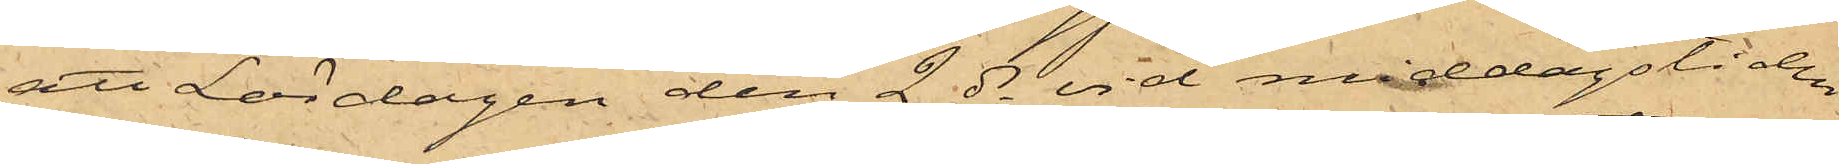att Lördagen den 2 ds vid middagstiden
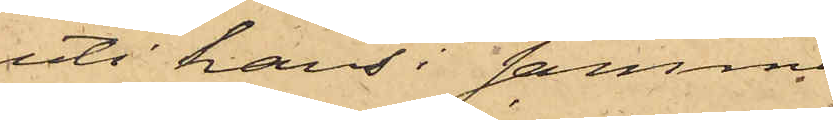uti hans i samma
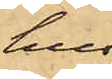hus
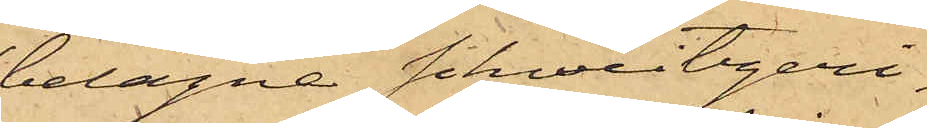belägne Schweitzeri¬
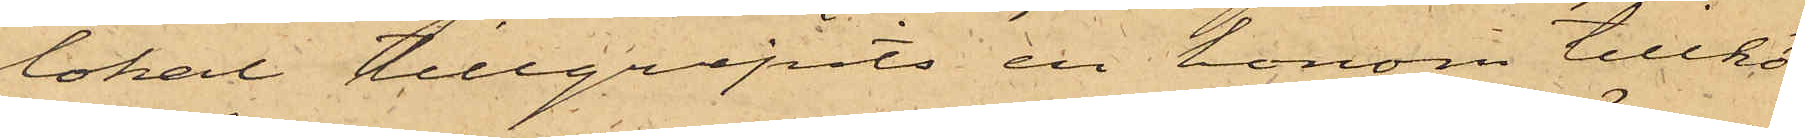lokal tillgripits en honom tillhö¬
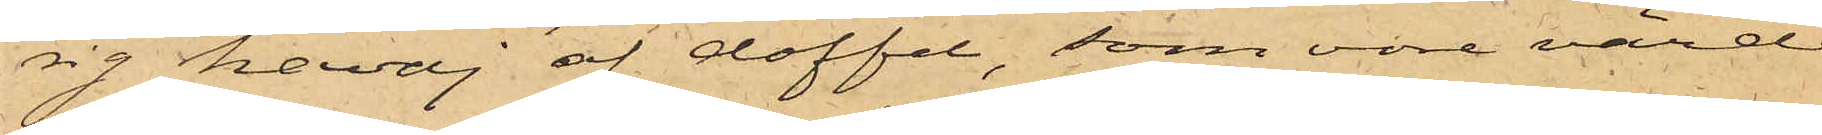rig kavaj af doffel, som vore värd
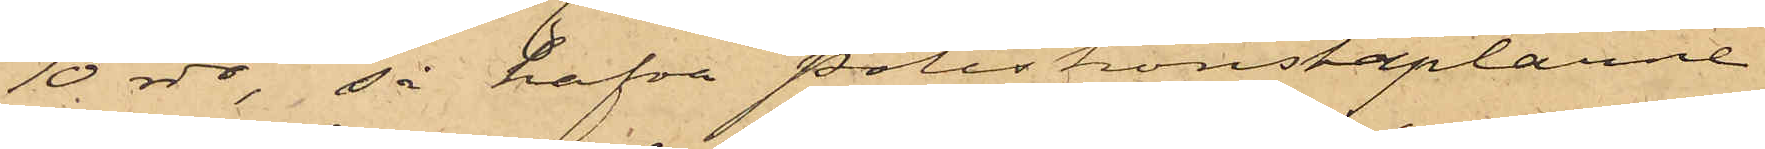10 rdr, så hafva Poliskonstaplarne
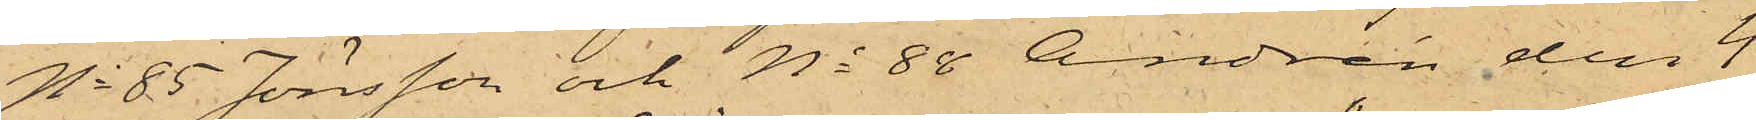No 85 Jönsson och No 88 Andrén den 4
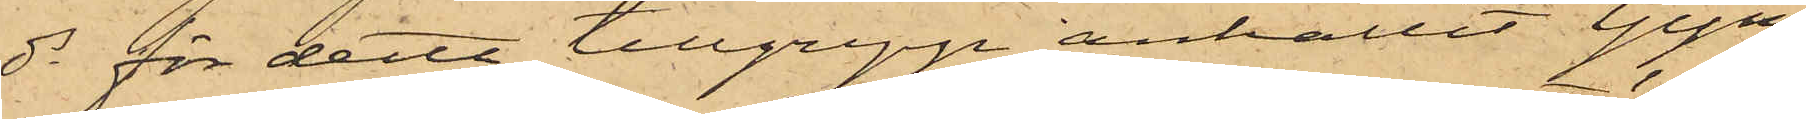ds för detta tillgrepp anhållit Gym¬
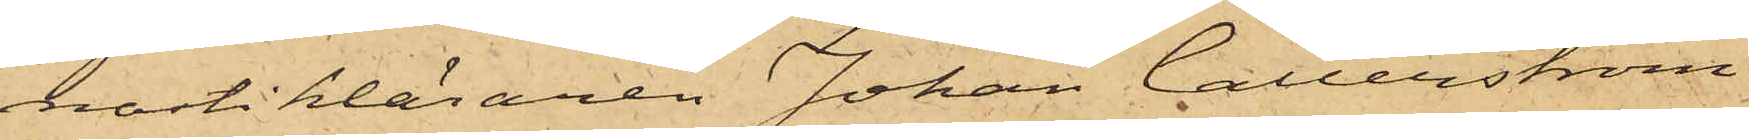nastikläraren Johan Callerström,
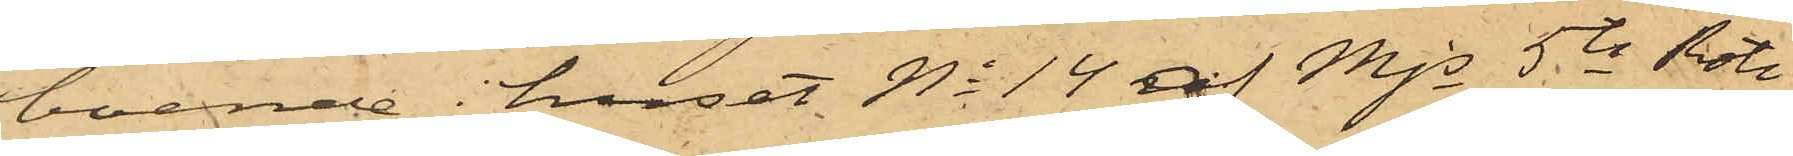boende i huset No 14 af Mjs 5te Rote
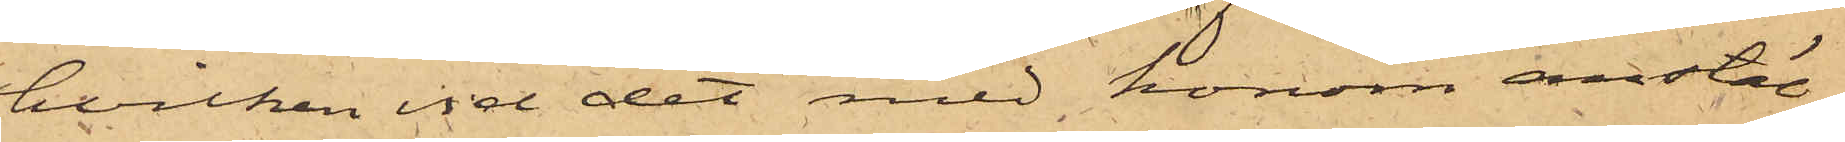hvilken vid det med honom anstäl¬
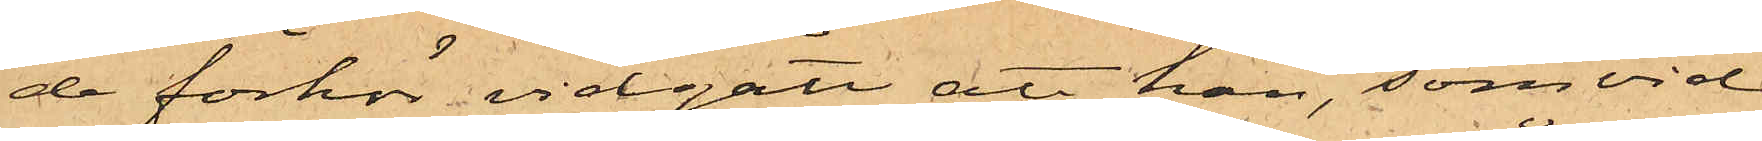de förhör vidgått att han, som vid
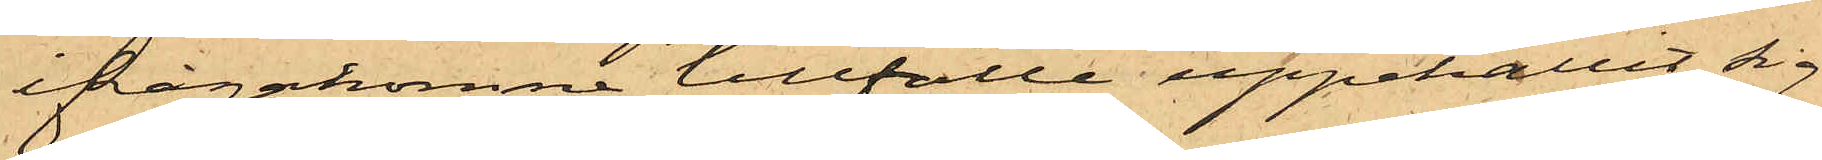ifrågakomne tillfälle uppehållit sig
